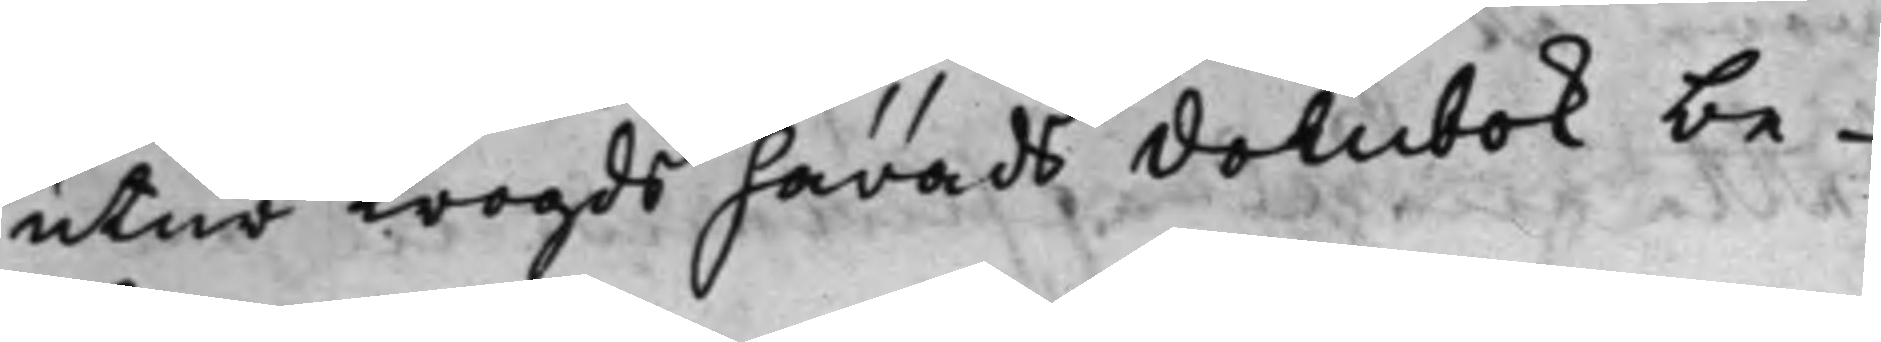utur Trogds härads dombok be¬
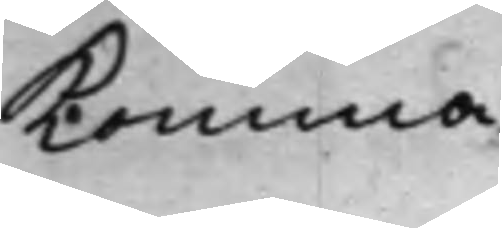komma.
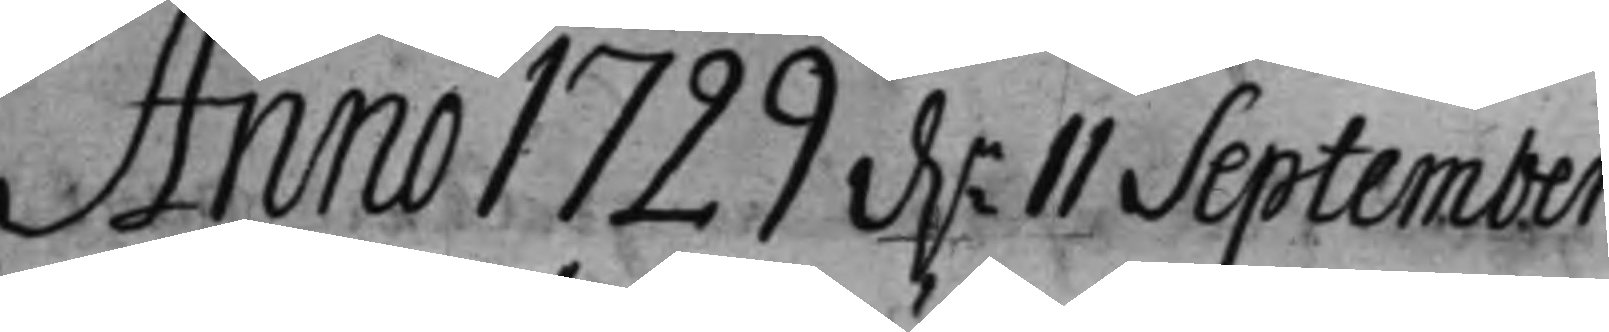Anno 1729 d.n 11 September
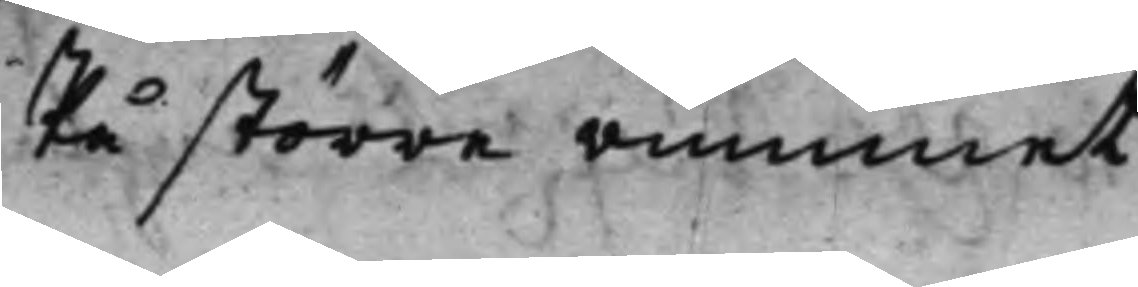På större rummet
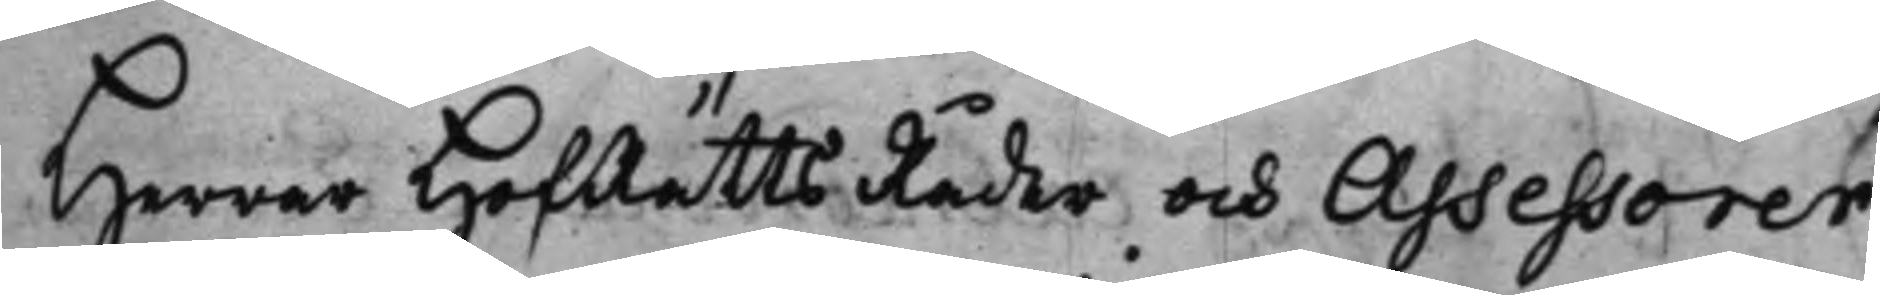Herrar HofRätts Råder och Assessorer
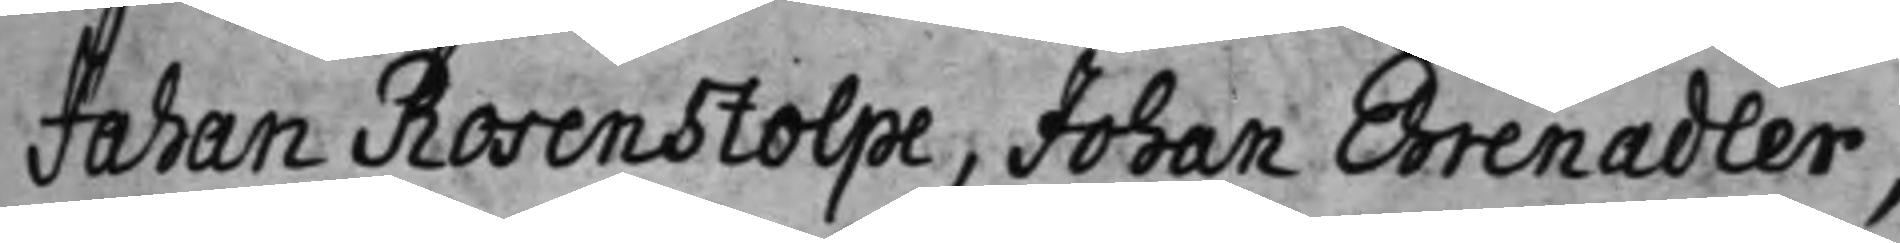Johan Rosenstolpe, Johan Ehrenadler,
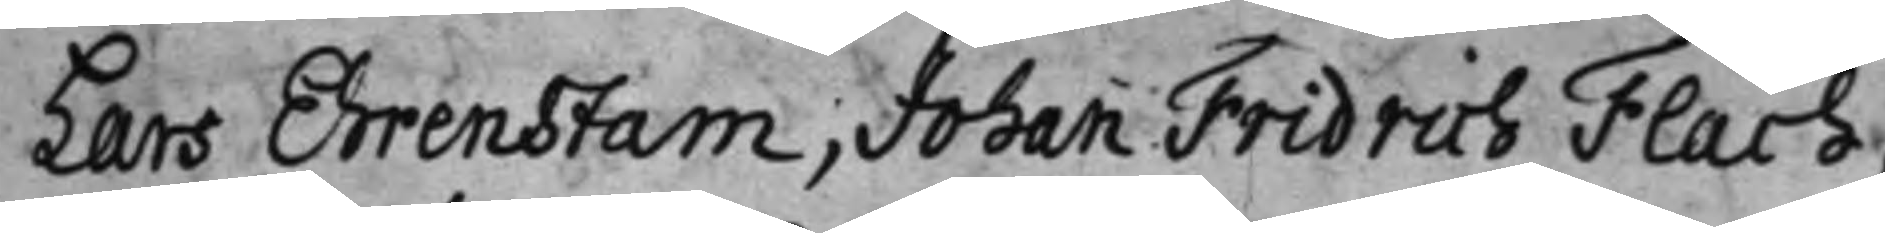Lars Ehrenstam, Johan Fridrich Flach,
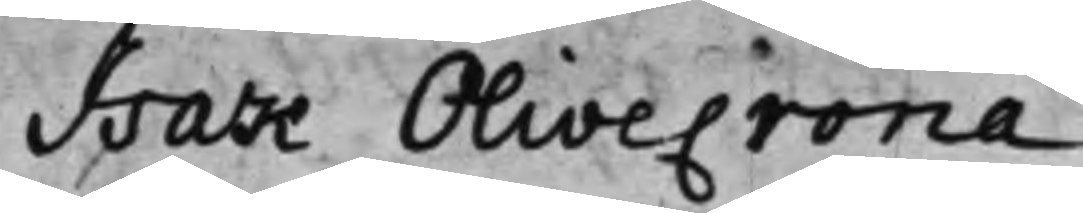Isak Olivecrona.
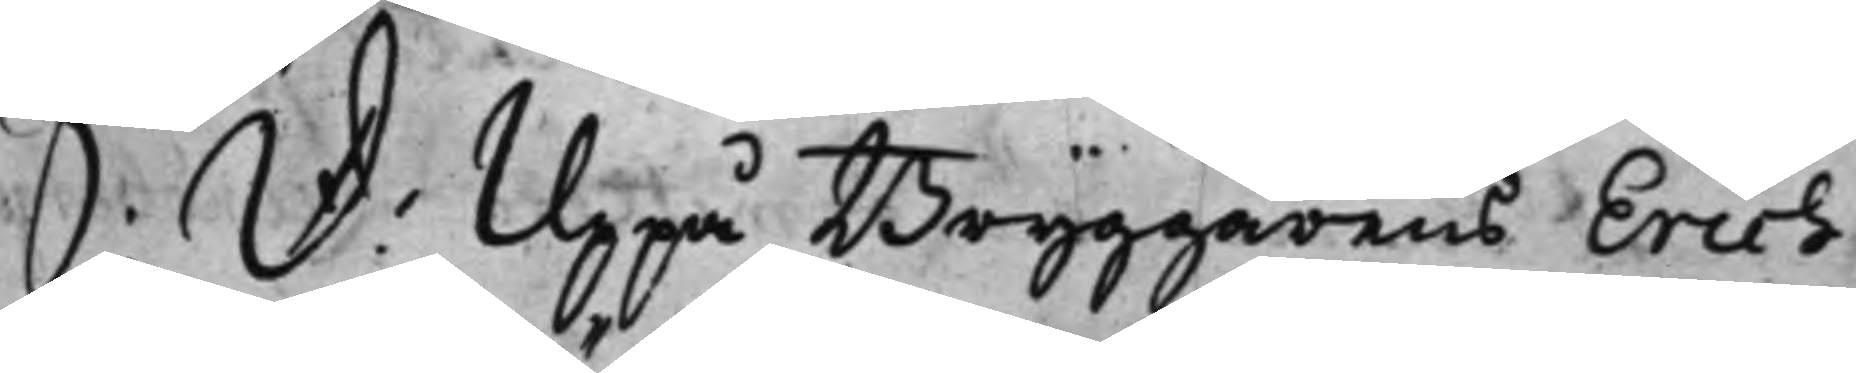S: D: Uppå Bryggarens Erich
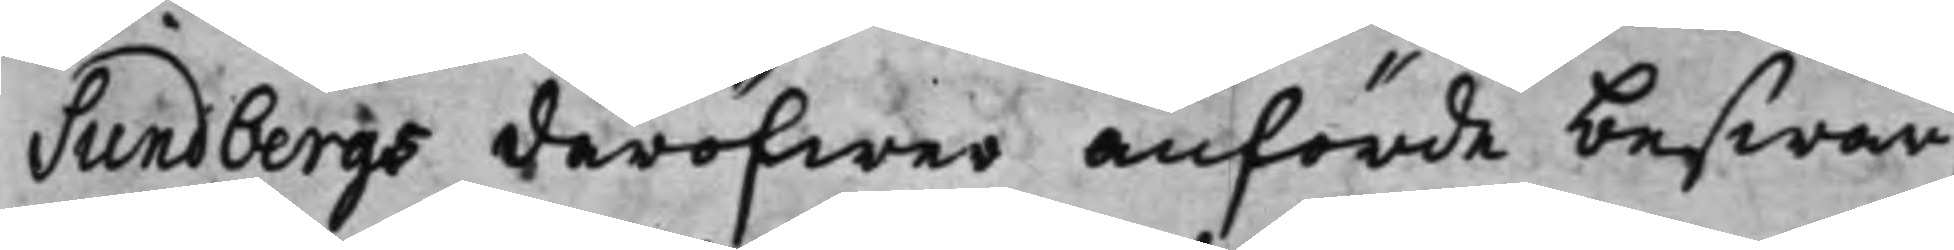Sundbergs deröfwer anförde beswär,
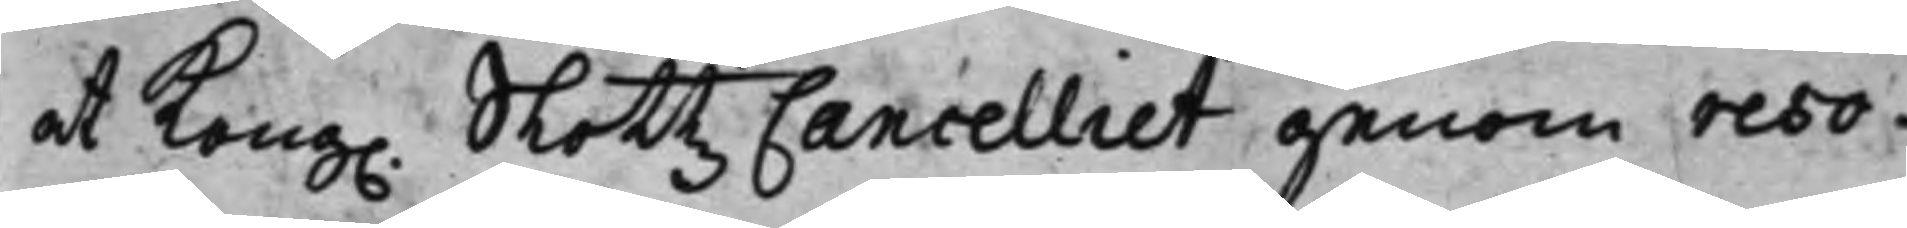at Kong. SlottzCancelliet genom reso¬
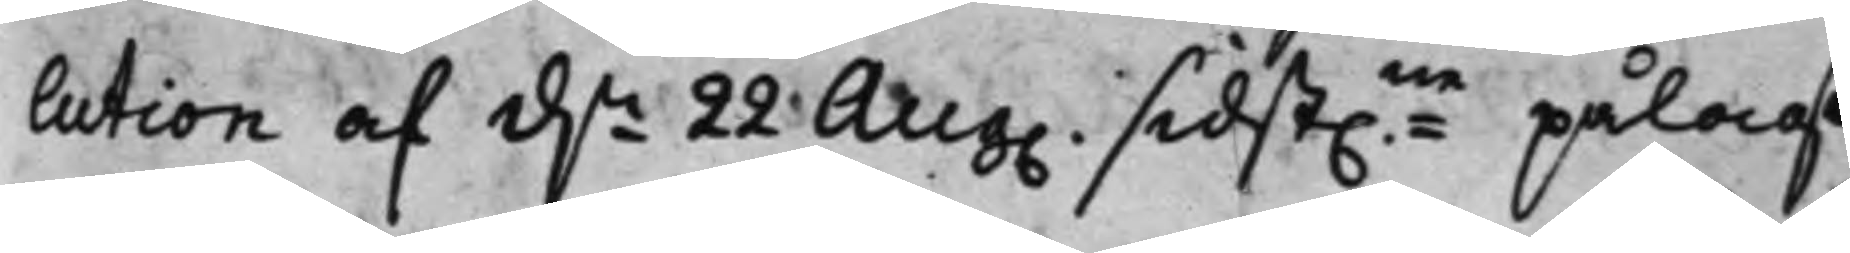lution af d.n 22 Aug: sidst.ne pålagt
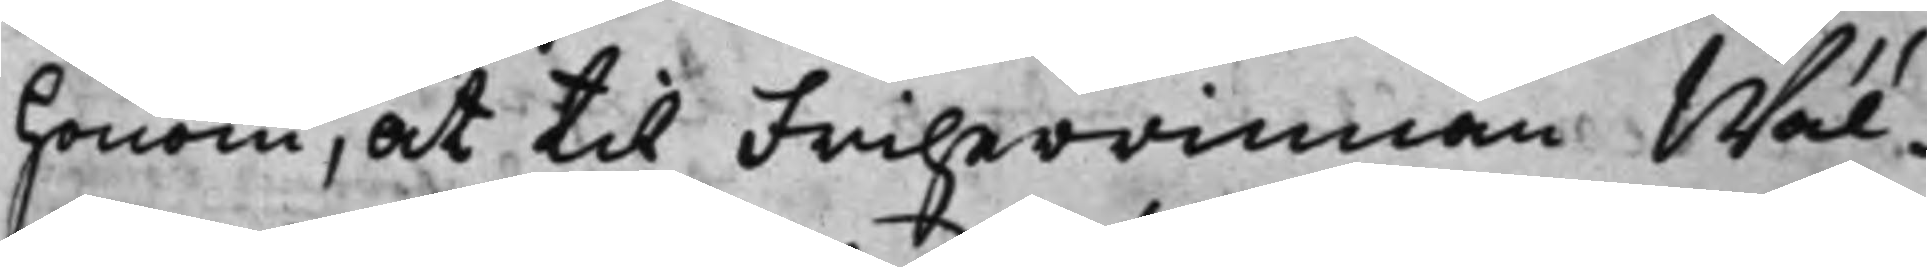honom, att til Friherrinnan Wäl¬
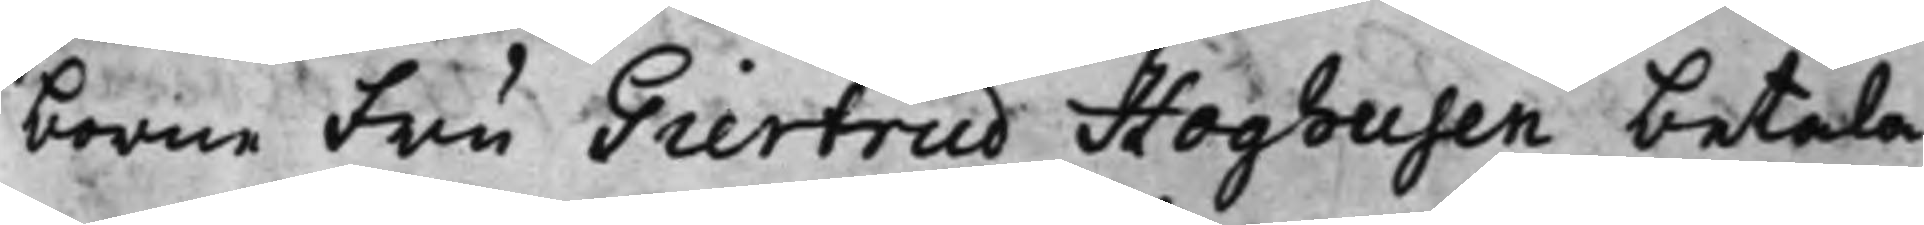borne Fru Giertrud Hoghusen betala
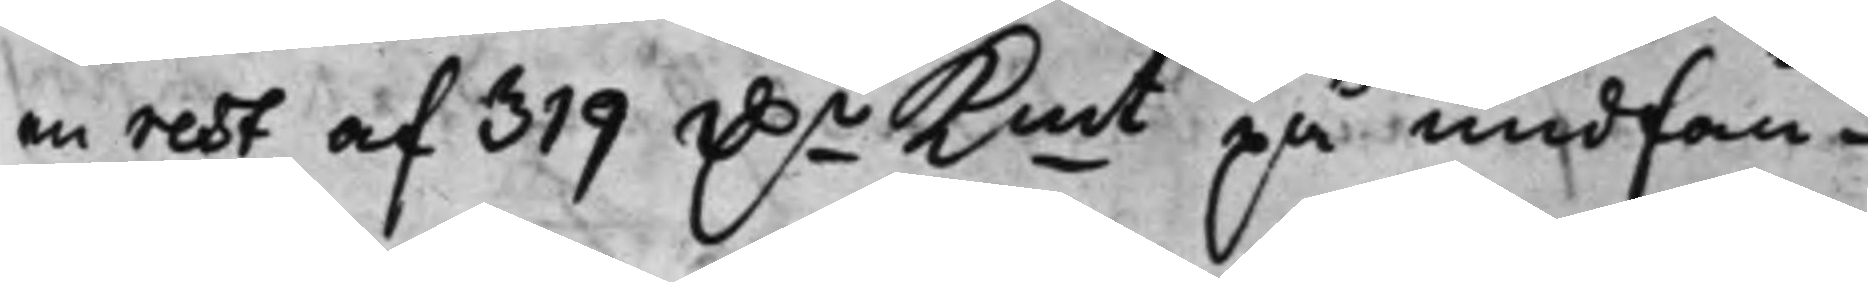rest af 319 D.r Kmt på undfån¬
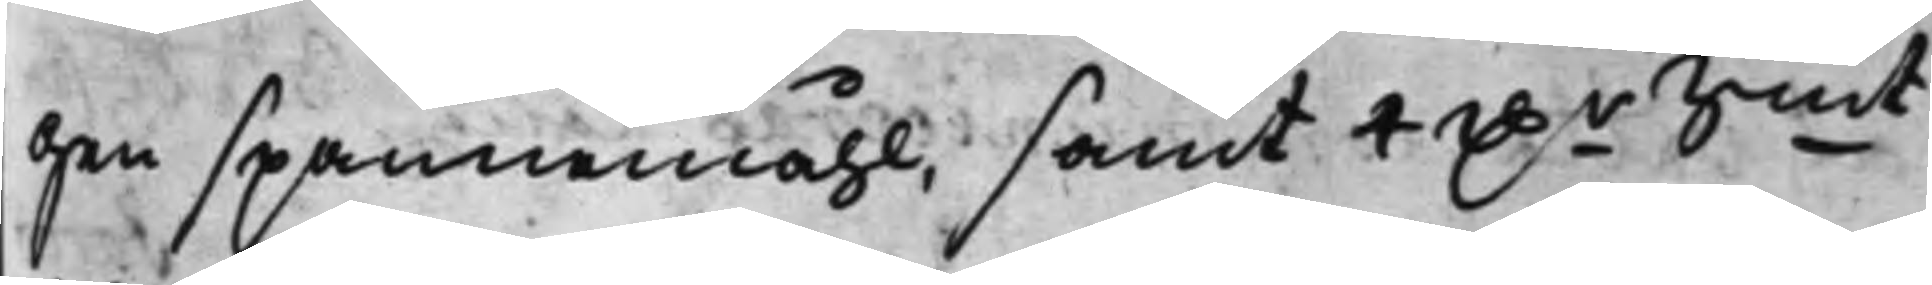gen spannemåhl, samt 4 D.r Smt
